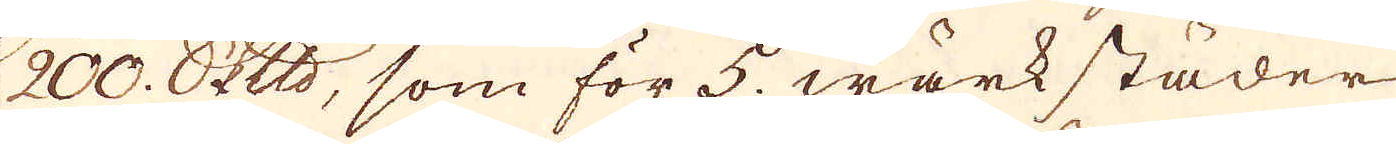200. skeppund, som för 5. wärkstäder
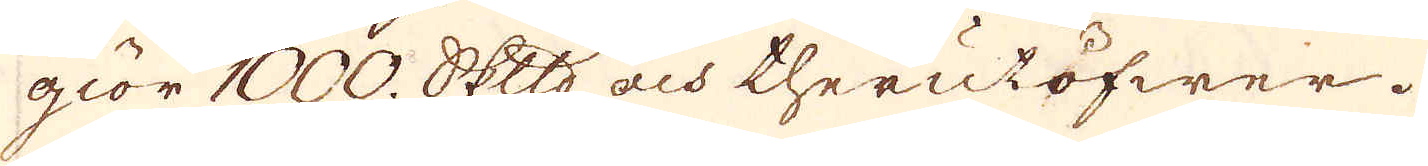giör 1000. skeppund och therutöfwer.
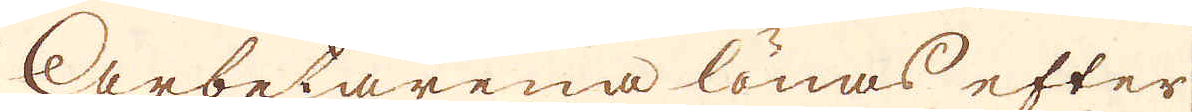Arbetarena lönas efter
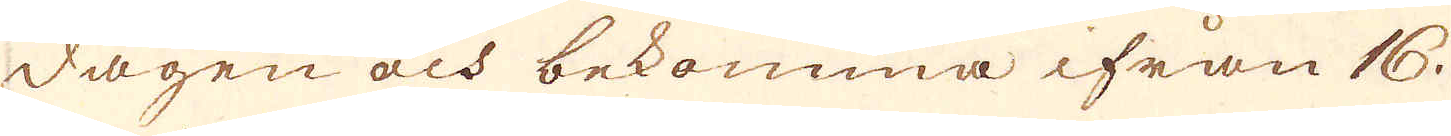dagen och bekomma ifrån 16.
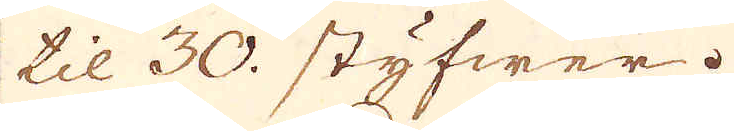til 30. styfwer.
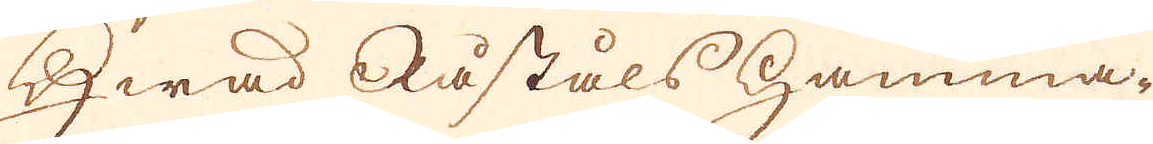Hwad Råståls hamma-
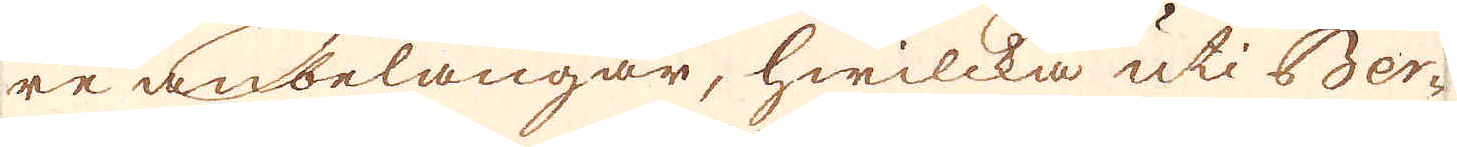re anbelangar, hwilcka uti Ber-
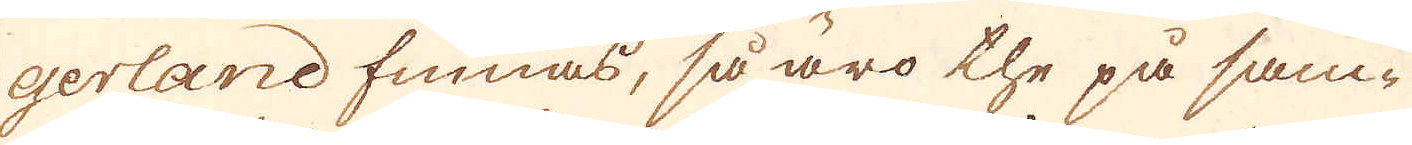gerland finnas, så äro the på sam-
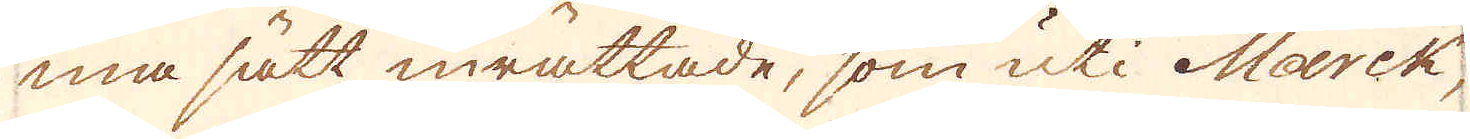ma sätt inrättade, som uti Marck,
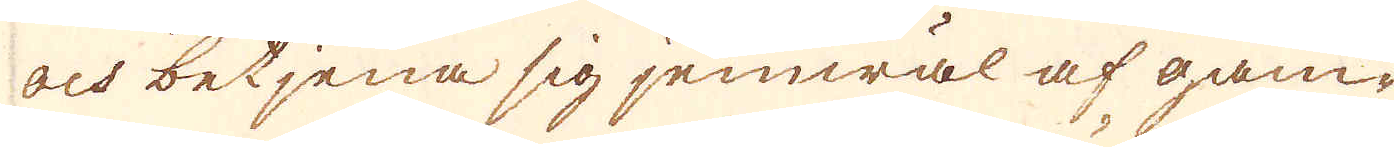och betjena sig jemwäl af gam-
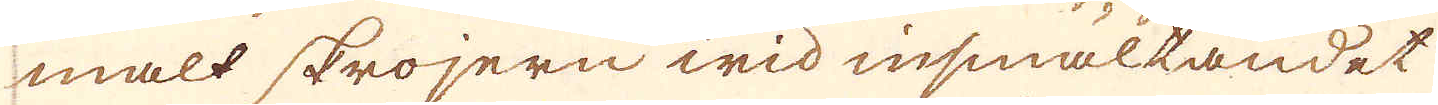malt skrojern wid insmältandet
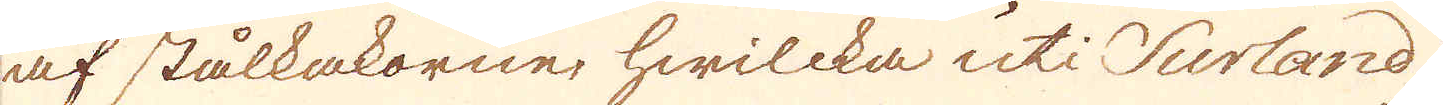af stålkakorne, hwilcka uti Surland
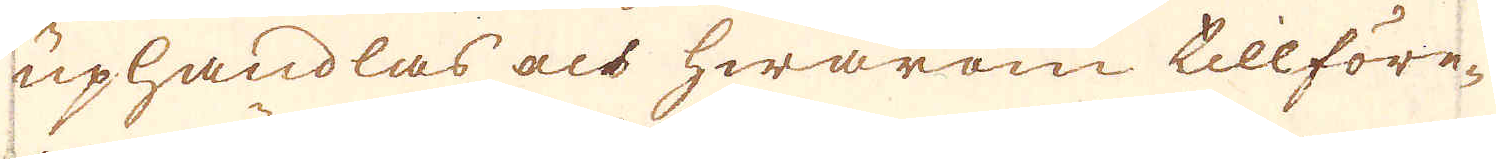uphandlas och hwarom tillföre-
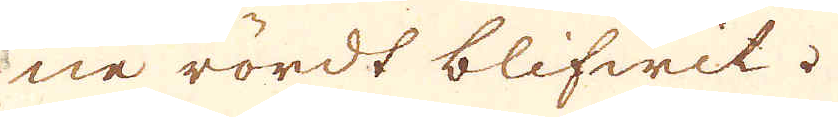ne rördt blifwit.
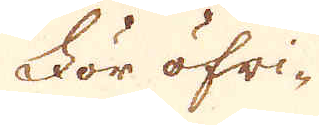För öfri-
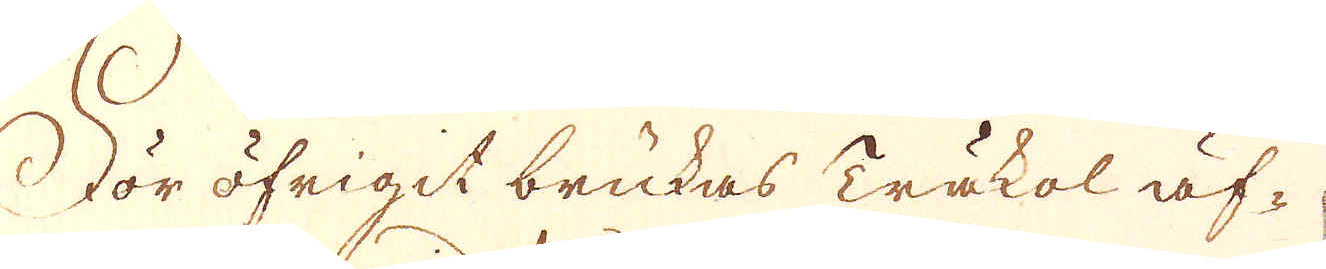För öfrigit brukas Träkol äf-
